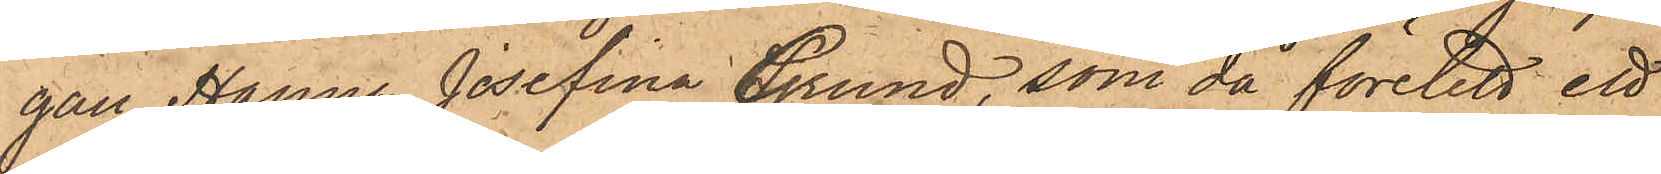gat Hanna Josefina Grund, som då företett ett
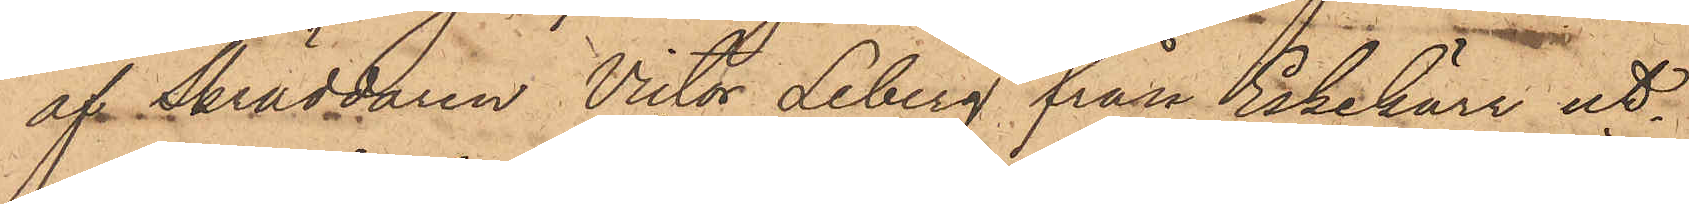af Skräddaren Victor Leberg från Eskekärr ut¬
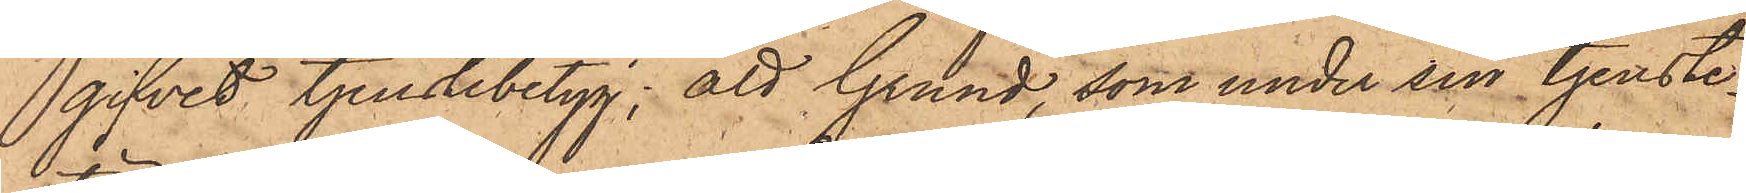gifvit tjenstebetyg; att Grund, som under sin tjenste¬
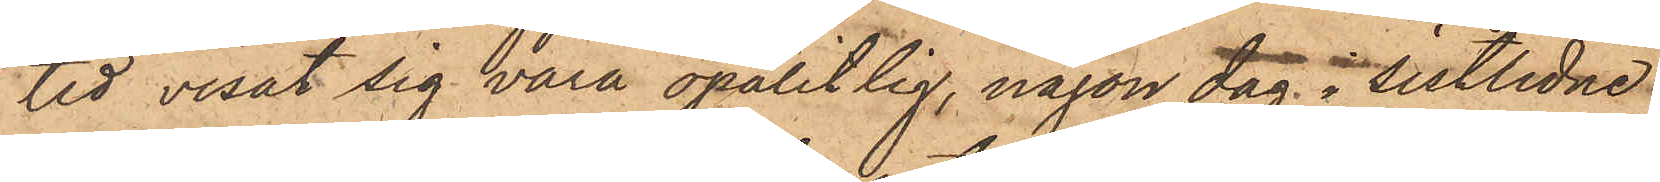tid visat sig vara opålitlig, någon dag i sistlidne
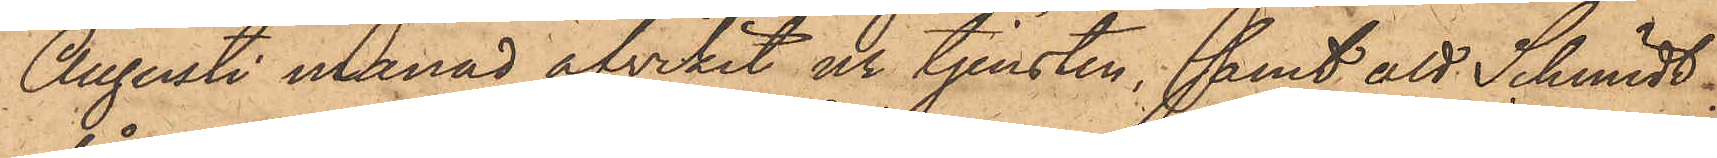Augusti månad afvikit ur tjensten; samt att Schmidt
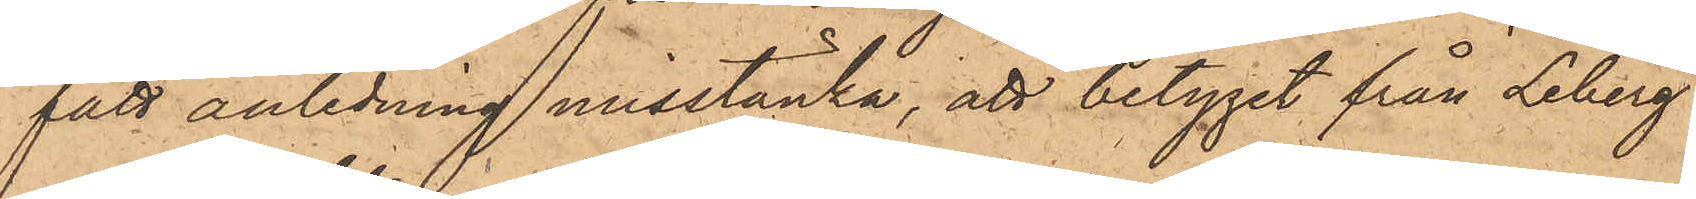fått anledning misstänka, att betyget från Leberg
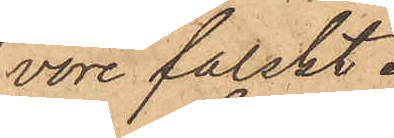vore falskt.
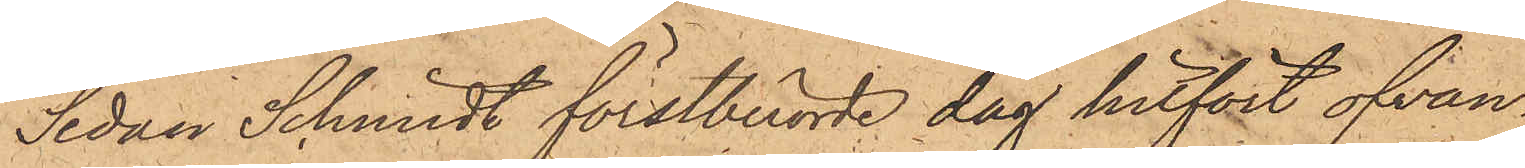Sedan Schmidt förstberörde dag hitfört ofvan¬
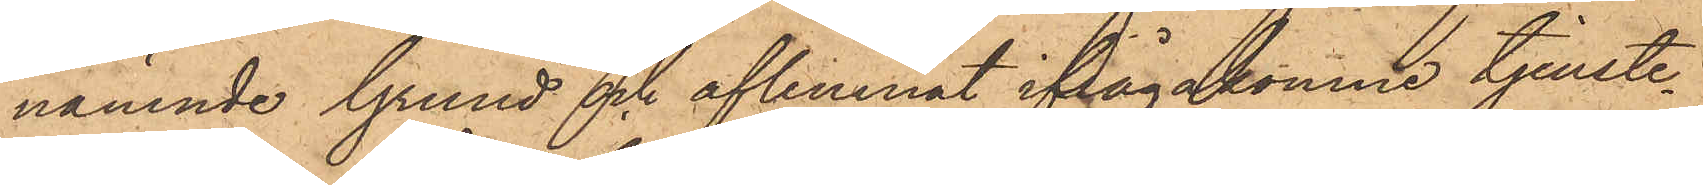nämnde Grund och aflemnat ifrågakomne tjenste¬
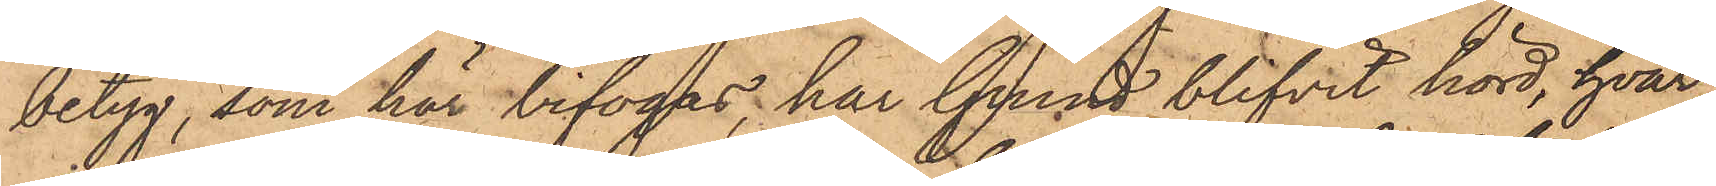betyg, som här bifogas, har Grund blifvit hörd, hvar¬
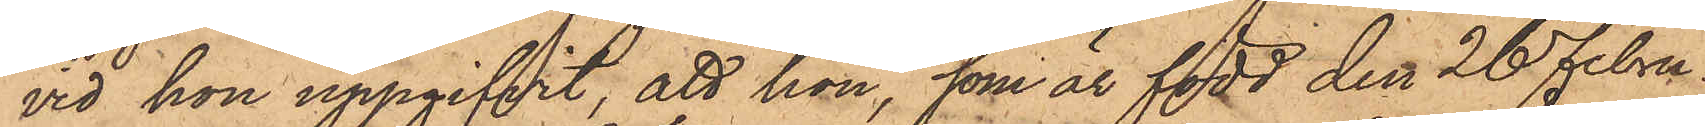vid hon uppgifvit, att hon, som är född den 26 Febru¬
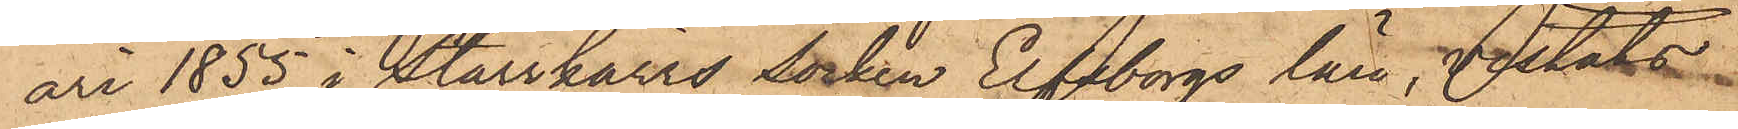ari 1855 i Starrkärrs Socken Elfsborgs län, vistats
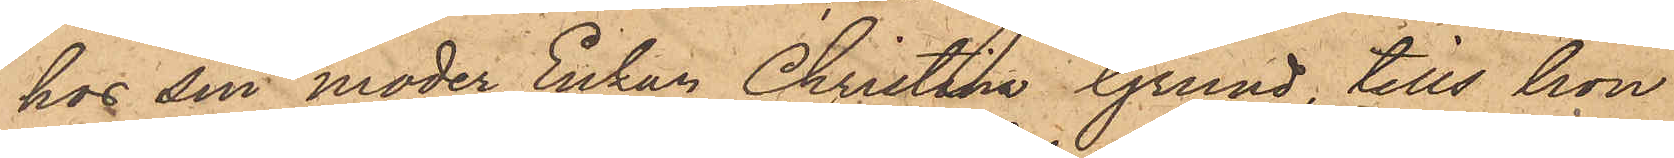hos sin moder Enkan Christina Grund tills hon
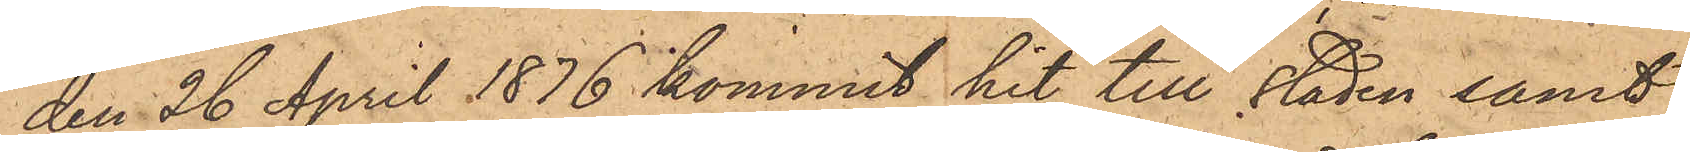den 26 April 1876 kommit hit till staden samt
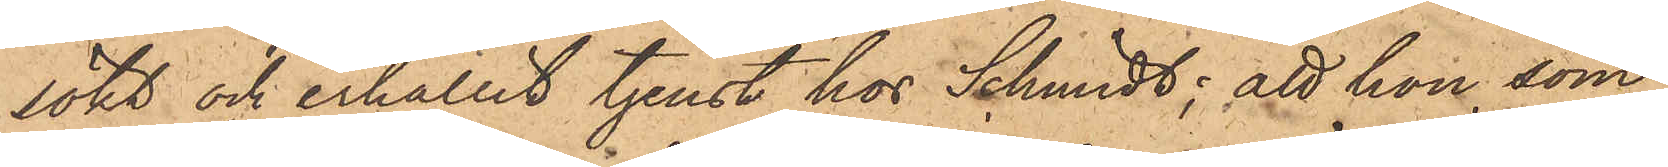sökt och erhållit tjenst hos Schmidt; att hon, som
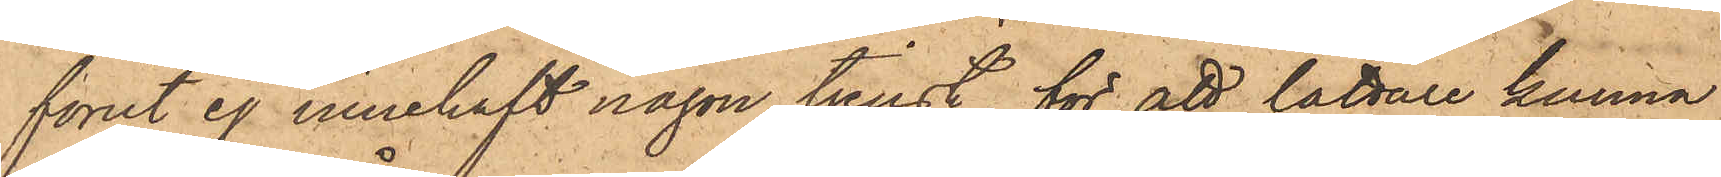förut ej innehaft någon tjenst, för att lättare kunna
